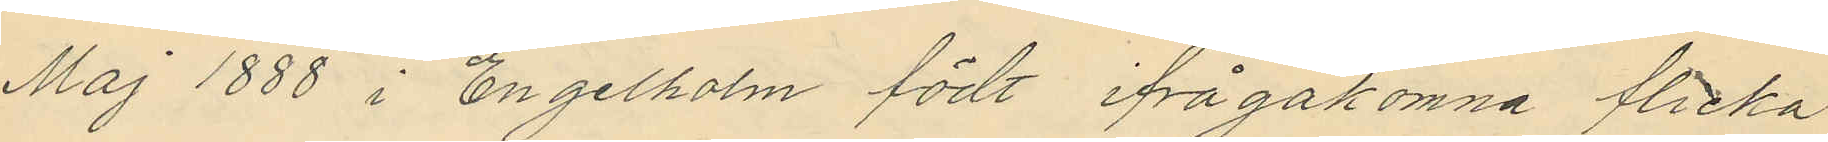Maj 1888 i Engelholm födt ifrågakomne flicka
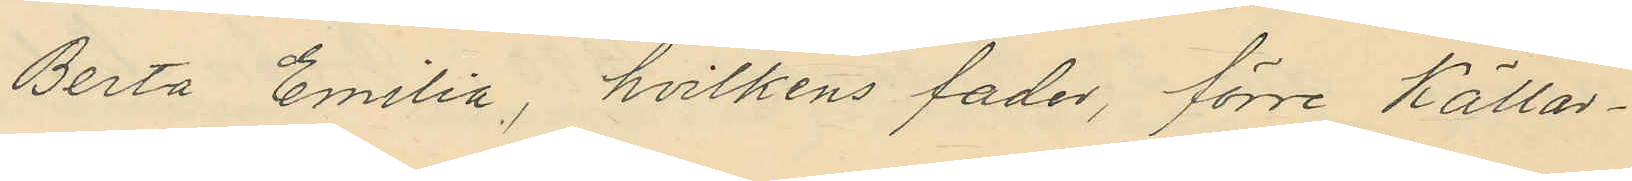Berta Emilia, hvilkens fader, förre Källar¬
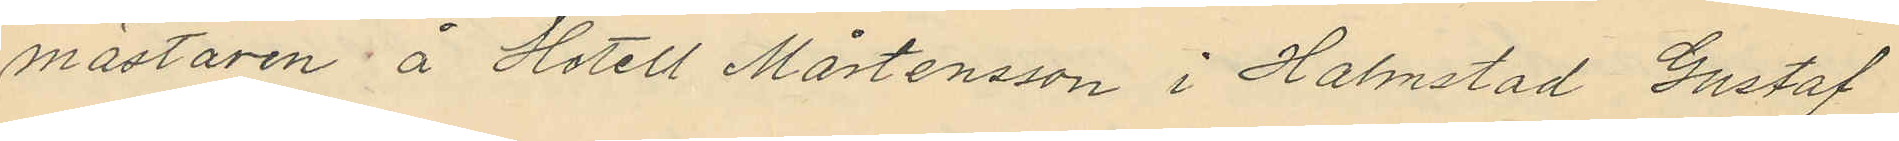mästaren å Hotell Mårtensson i Halmstad Gustaf
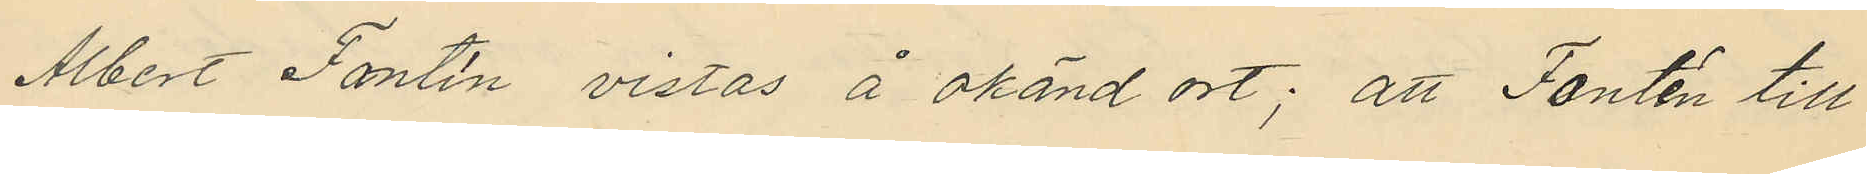Albert Fontin vistas å okänd ort; att Fontin till
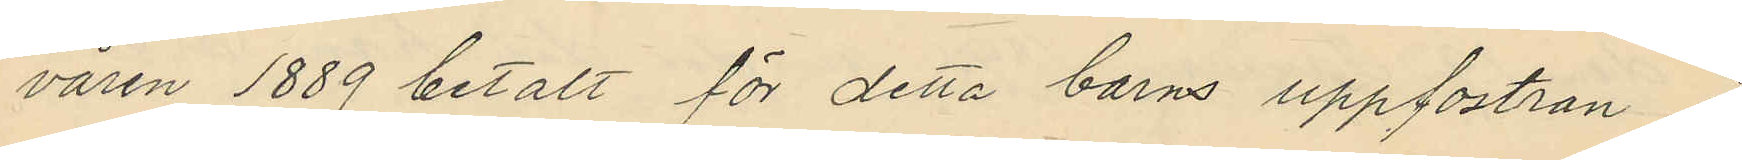våren 1889 betalt för detta barns uppfostran i
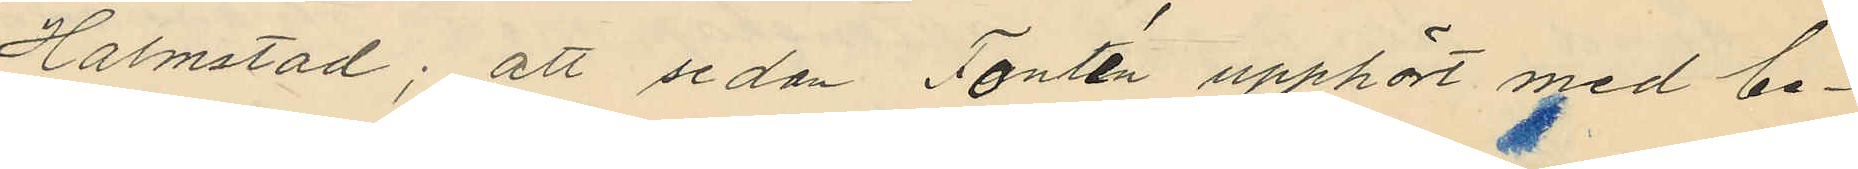Halmstad; att sedan Fontin upphört med be¬
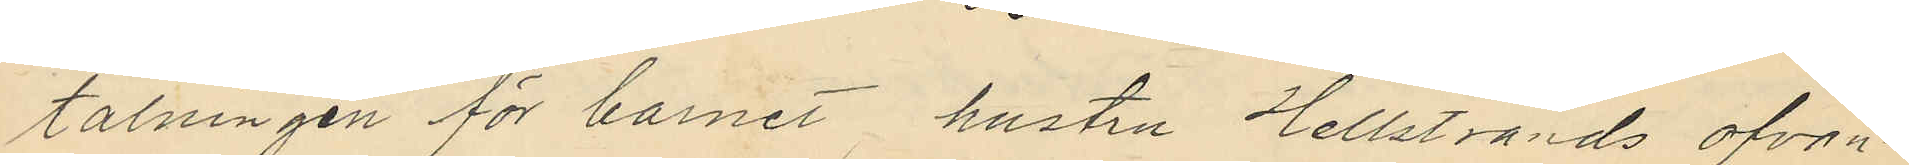talningen för barnet, hustru Hellstrands ofvan¬
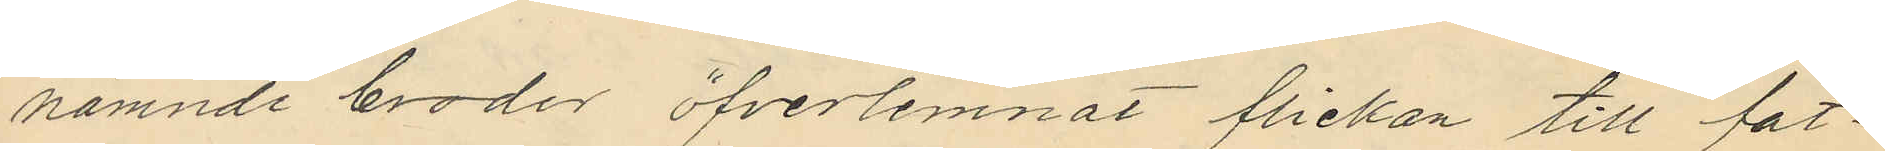nämnde broder öfverlemnat flickan till fat¬
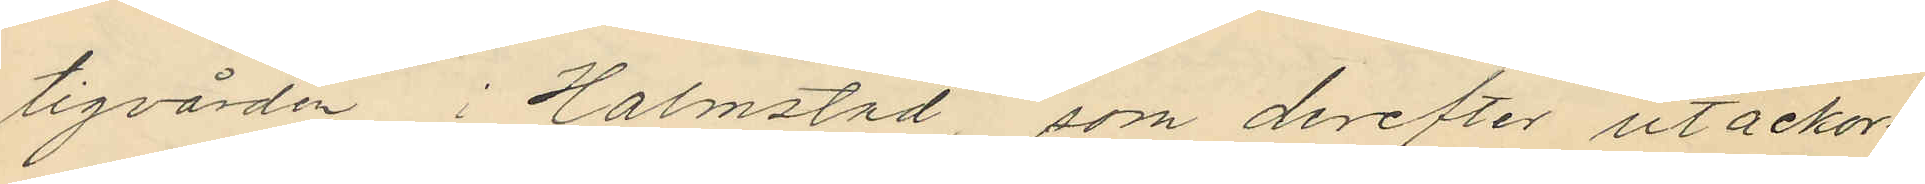tigvården i Halmstad, som derefter utackor
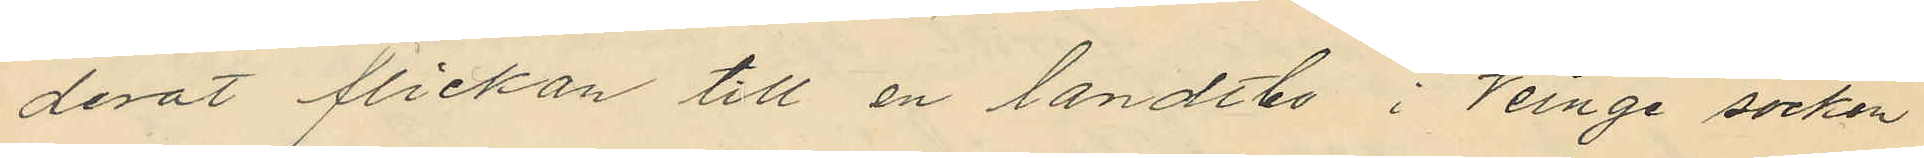derat flickan till en landtbo i Veinge socken
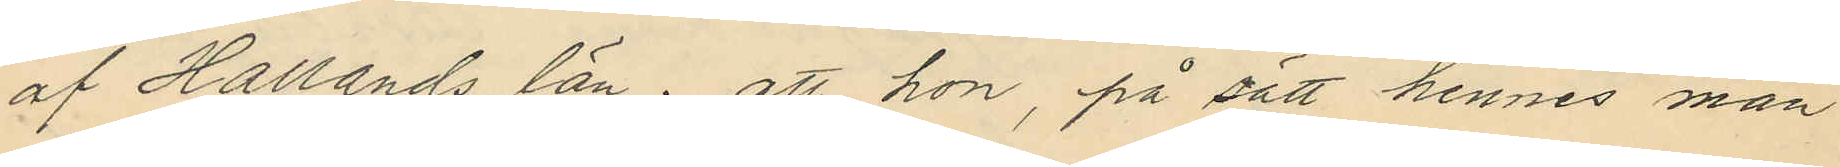af Hallands län; att hon, på sätt hennes man
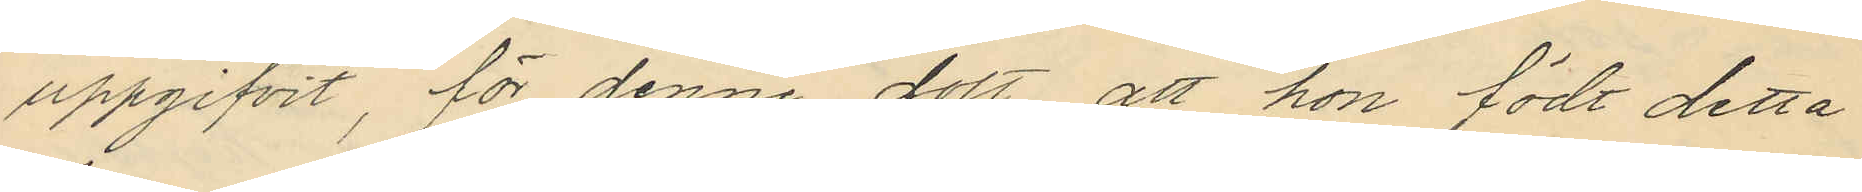uppgifvit, för denne dolt att hon födt detta
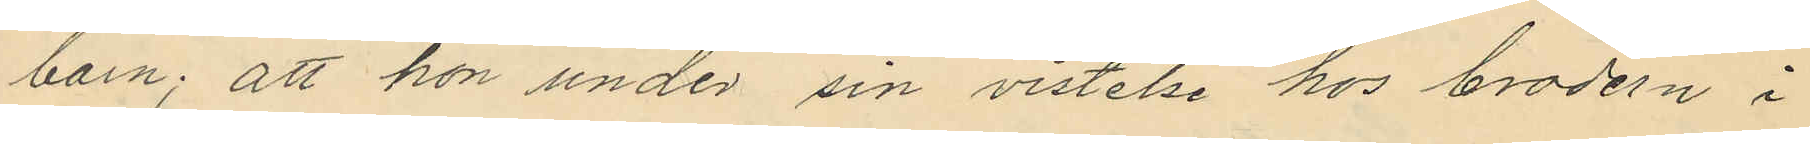barn; att hon under sin vistelse hos brodern i
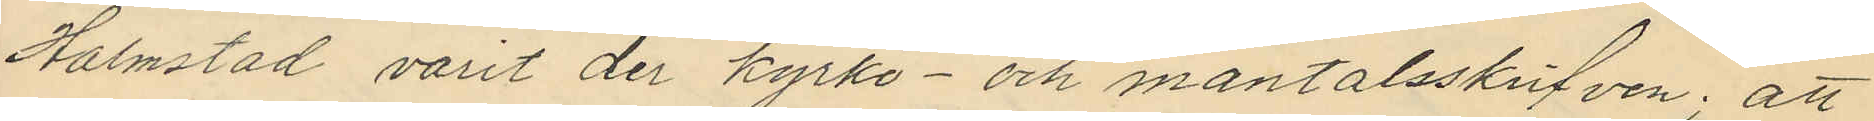Halmstad varit der kyrko- och mantalsskrifven; att
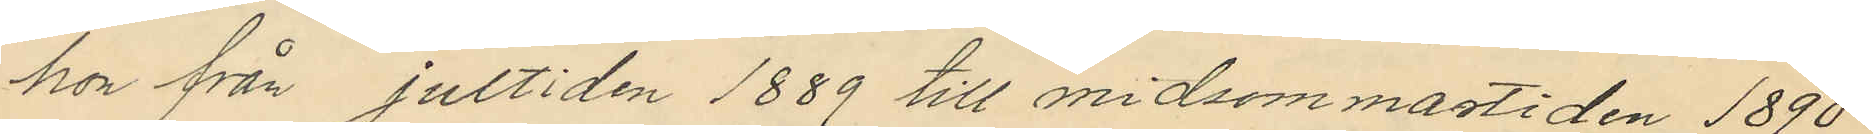hon från jultiden 1889 till midsommastiden 1890
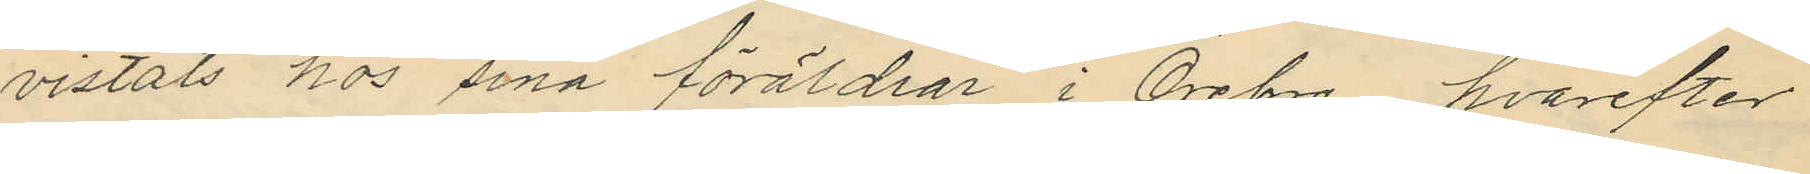vistats hos sina föräldrar i Örebro, hvarefter
